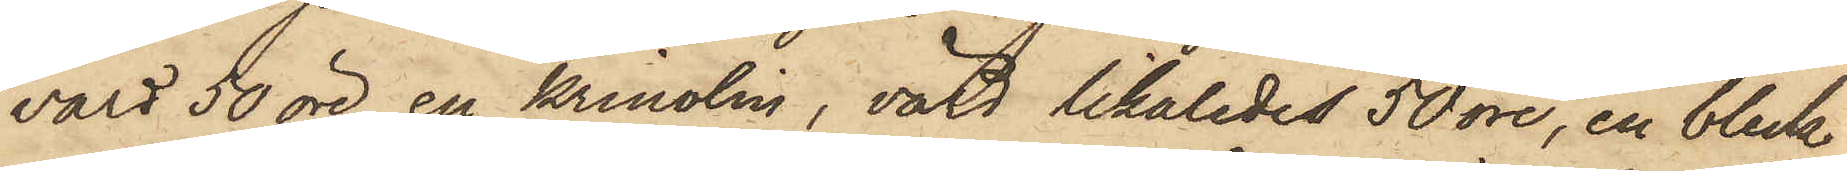värd 50 öre, en krinolin, värd likaledes 50 öre, en bleck¬
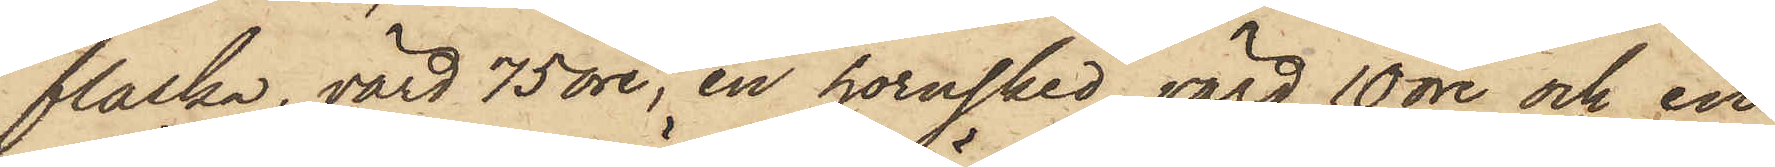flaska, värd 75 öre, en hornsked, värd 10 öre och en
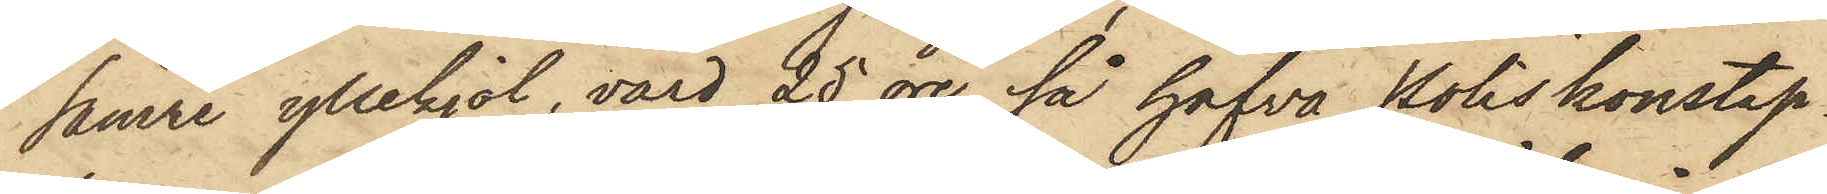sämre yllekjol, värd 25 öre, så hafva Poliskonstap¬
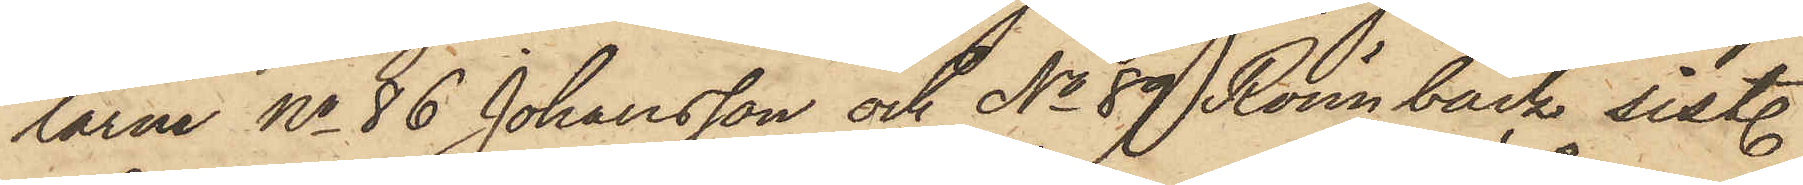larne No 86 Johansson och No 89 Rönnbäck sistl.
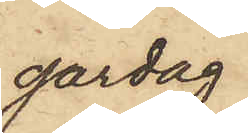gårdag
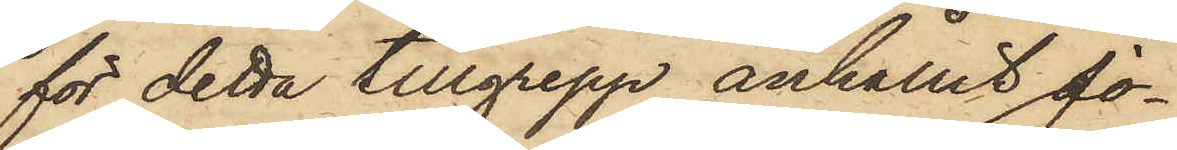för detta tillgrepp anhållit Jo¬
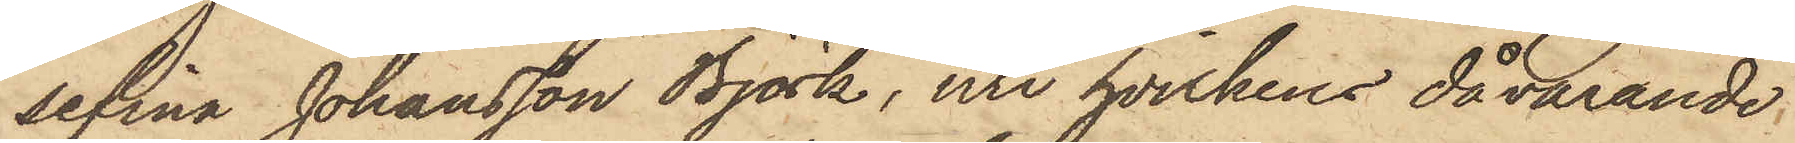sefina Johansson Björk, uti hvilkens dåvarande
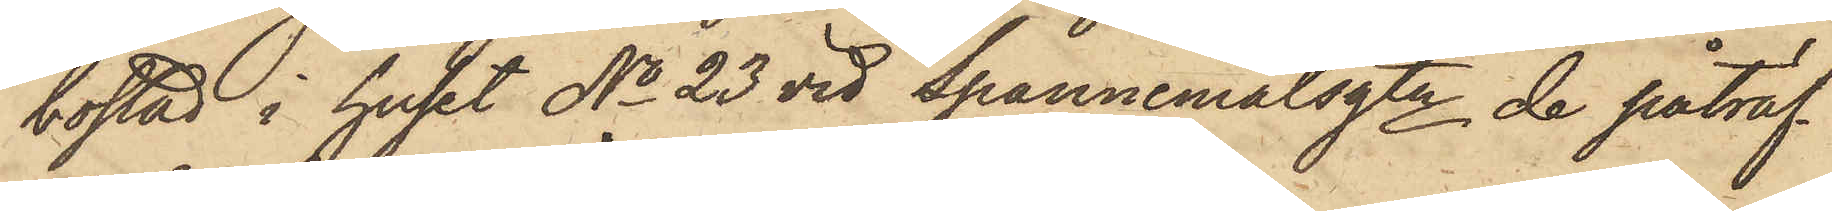bostad i huset No 23 vid Spannemålsgtn de påträf¬
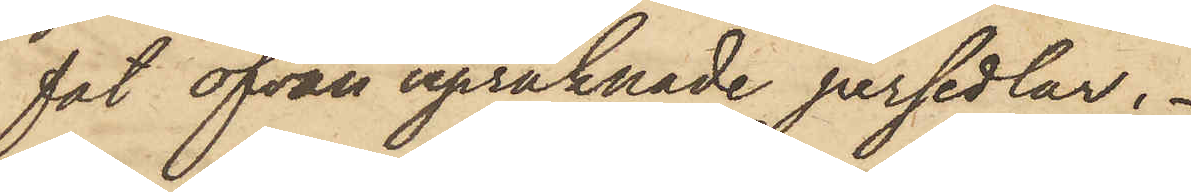fat ofvan uppräknade persedlar.
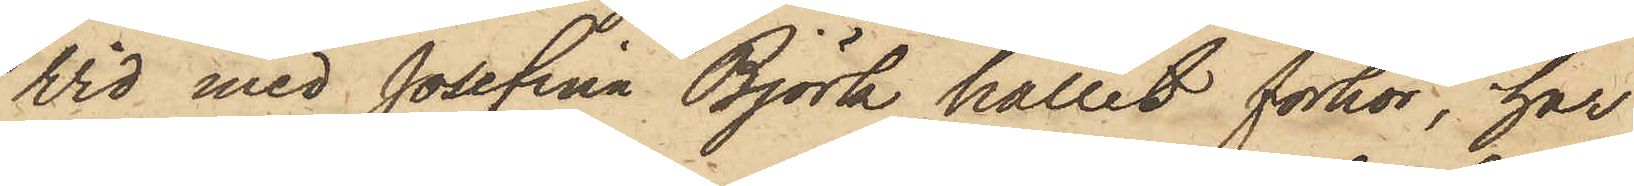Vid med Josefina Björk hållet förhör, har
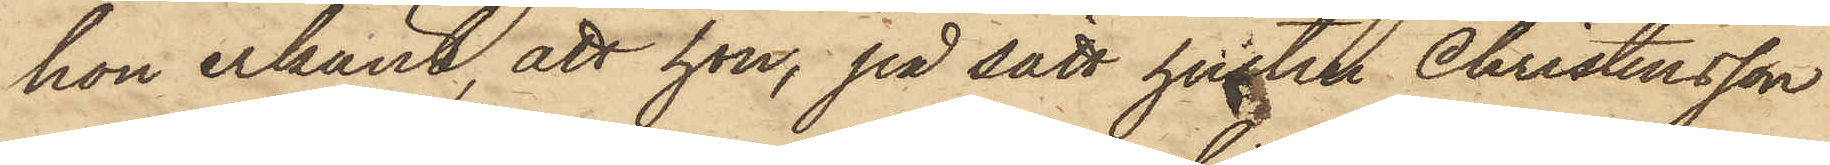hon erkänt, att hon, på sätt hustru Christensson
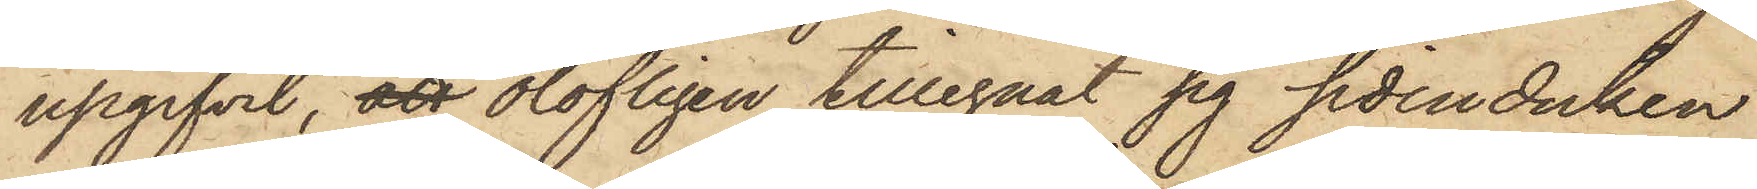upgifvit, att olofligen tillegnat sig sidenduken
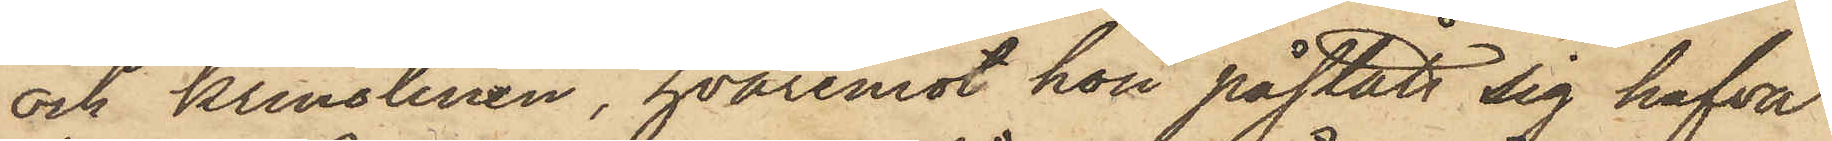och krinolinen, hvaremot hon påstått sig hafva
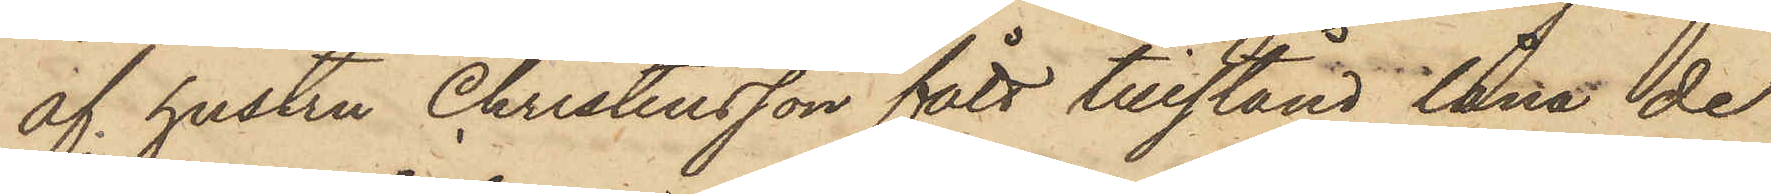af hustru Christensson fått tillstånd låna de
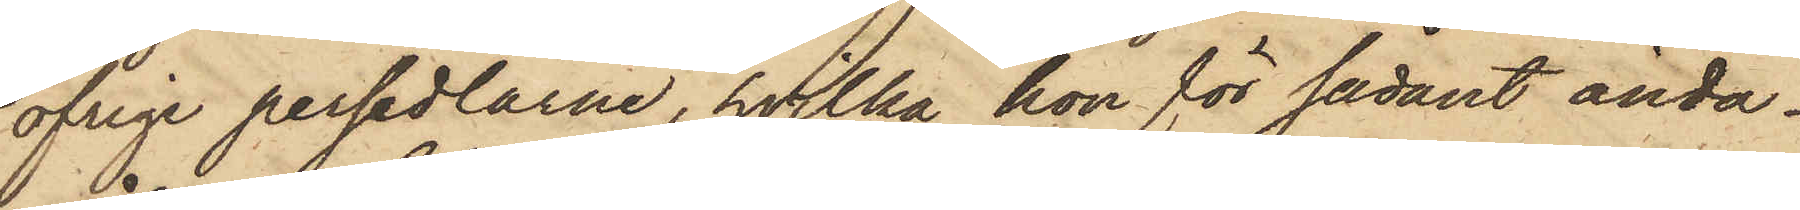öfrige persedlarne, hvilka hon för sådant ända¬
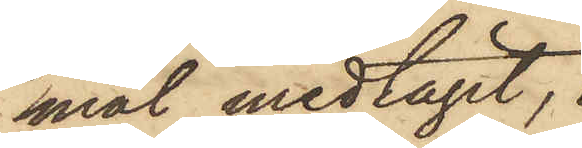mål medtagit;
